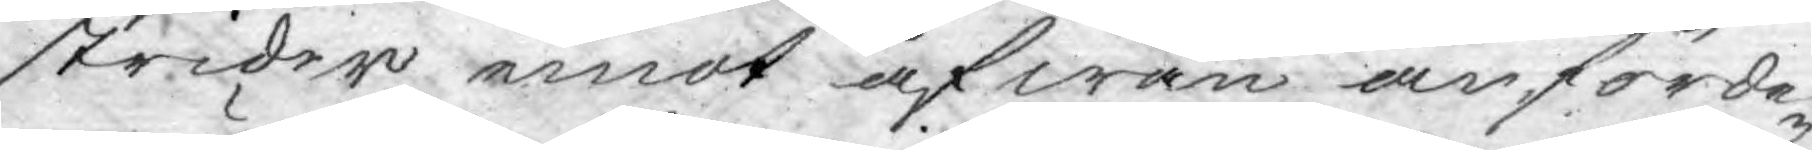strider emot åfwan anförde
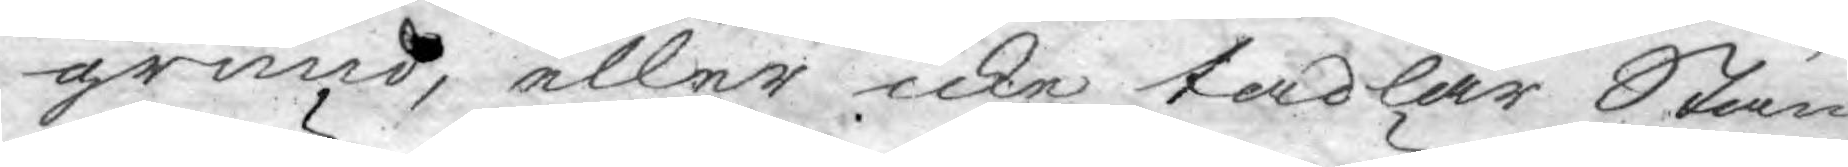grund, eller icke tadlar Stän¬
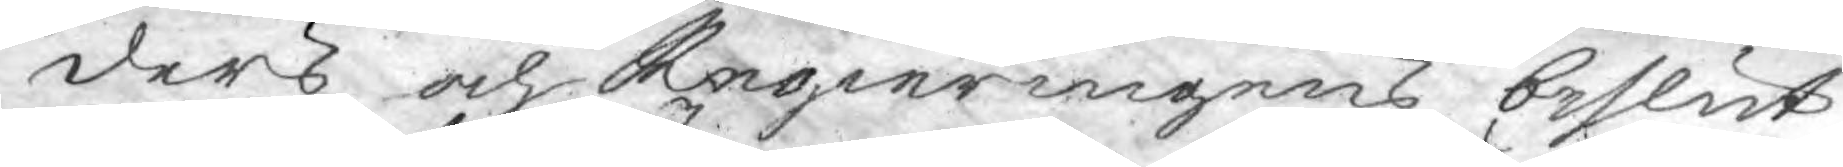ders och Regieringens beslut
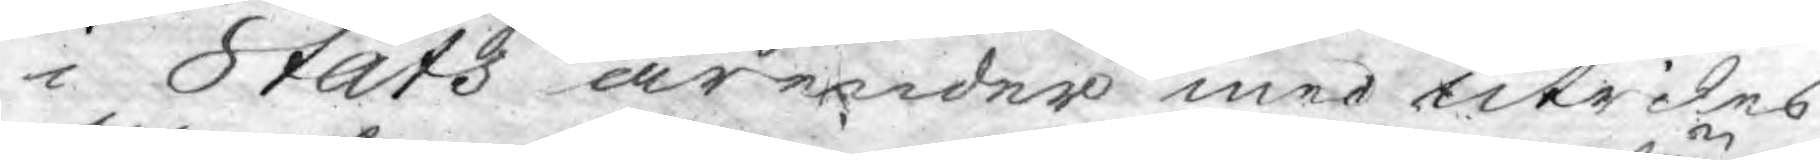i Stats ärender med utrikes
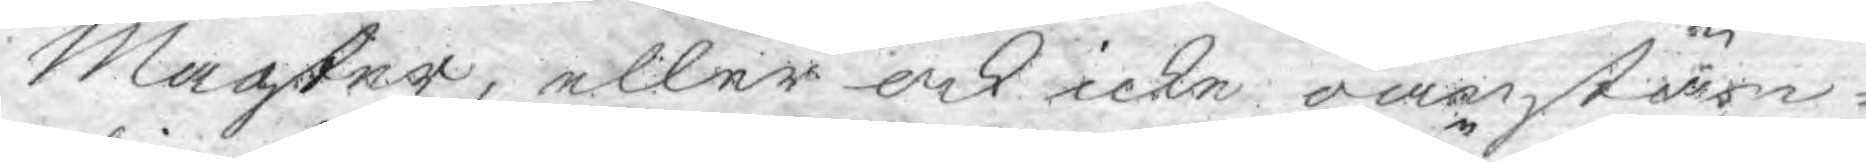Magter, eller och icke oanstän¬
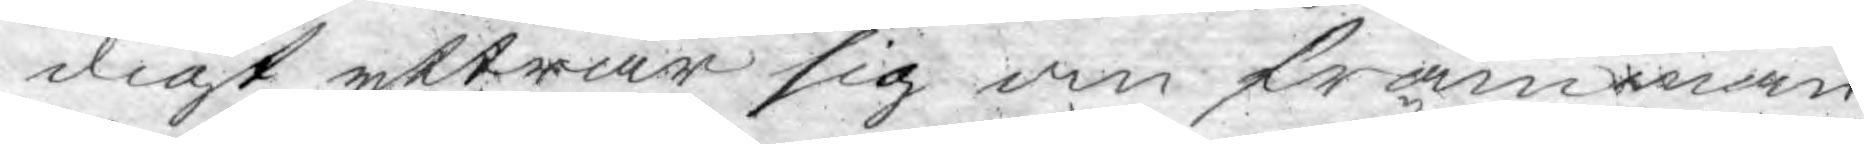digt yttrar sig om främman¬
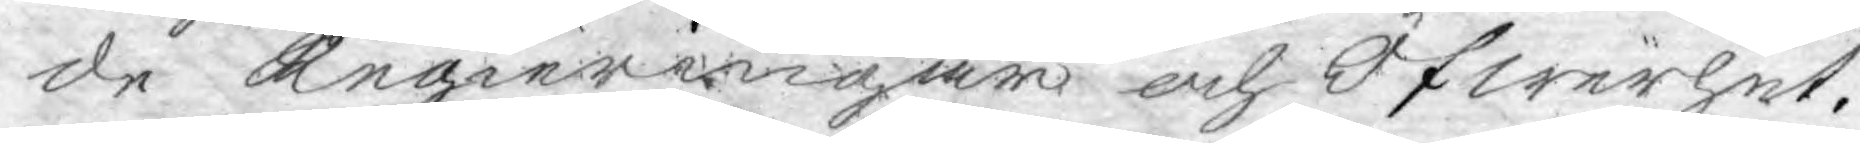de Regieringar och Öfwerhet.
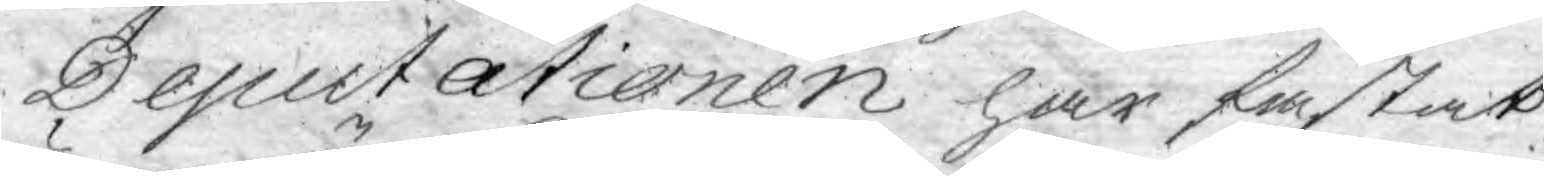Deputationen har fästat
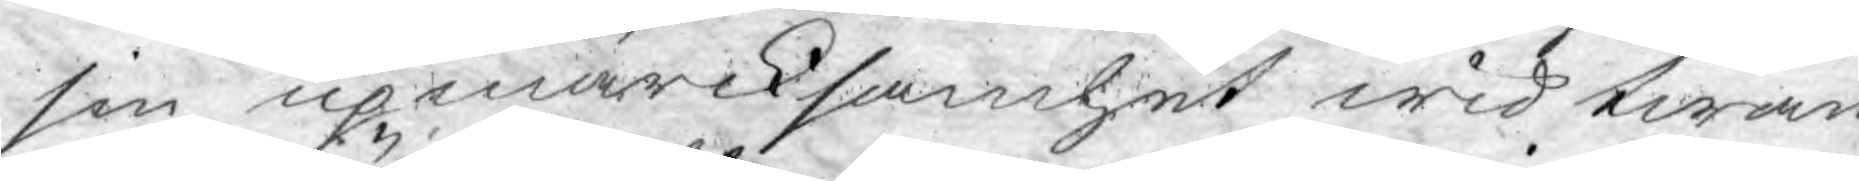sin upmärcksamhet wid twän¬
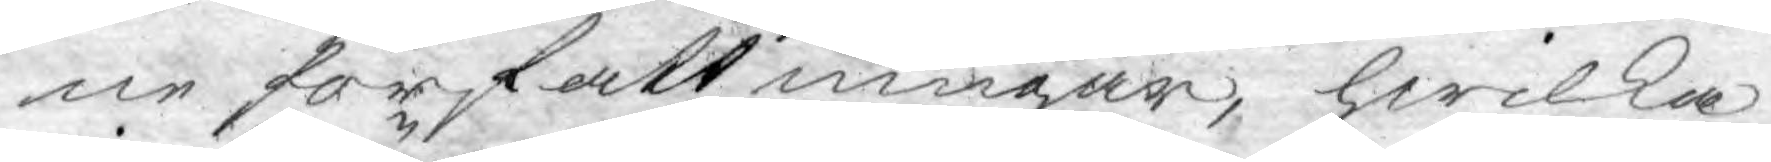ne författningar, hwilka
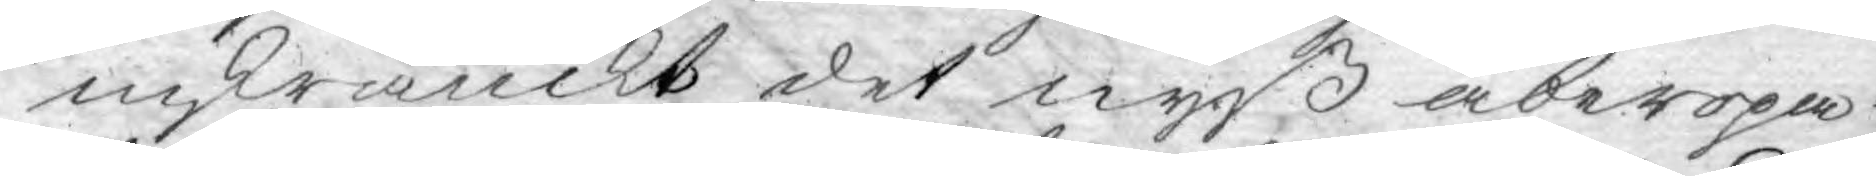inskränckt det nyss åberopa¬
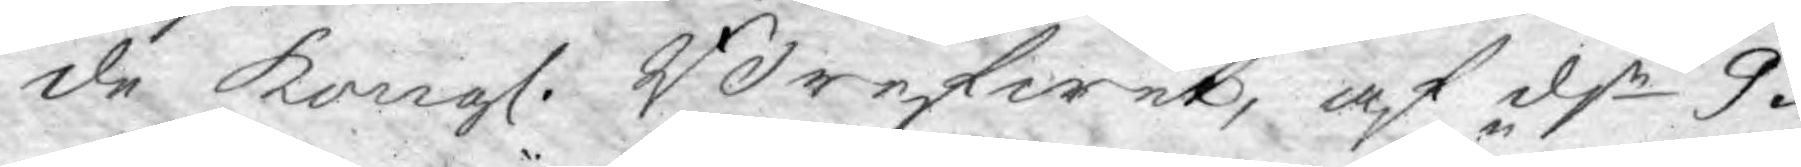de Kongl. Brefwet, af dn 9.
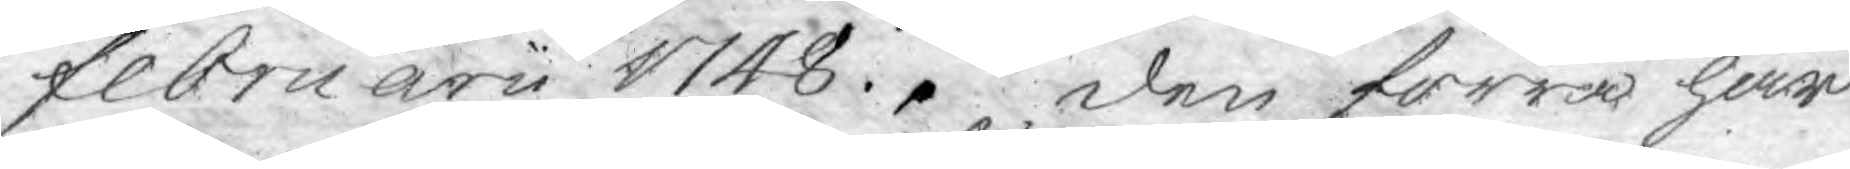februarii 1748.. den förra har
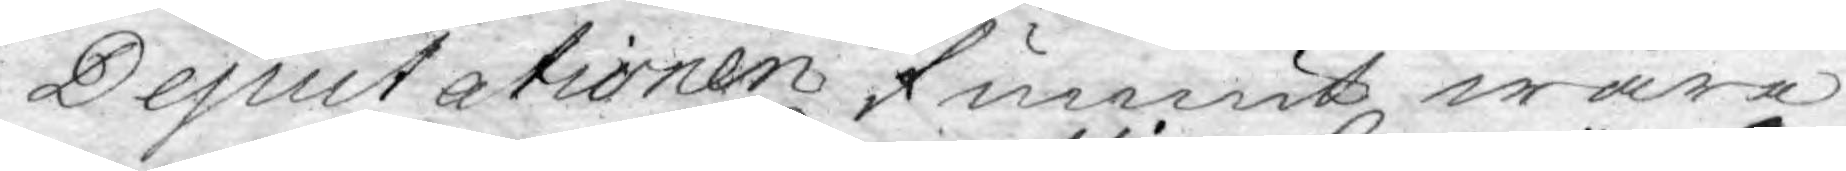Deputationen funnit wara
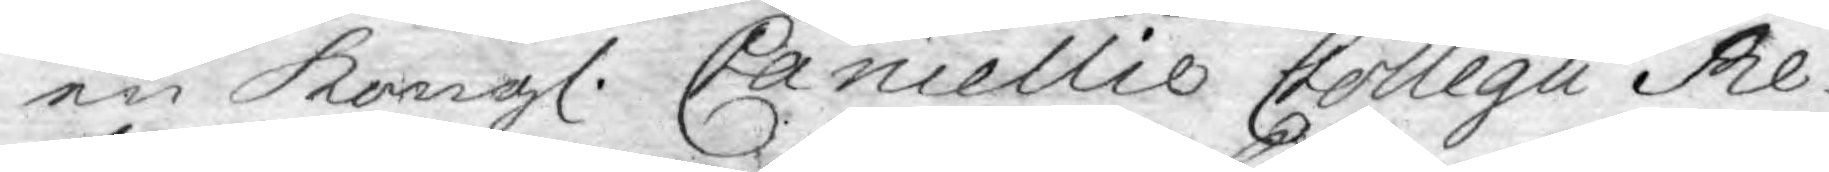en Kongl. Cancellie Collegii Re¬
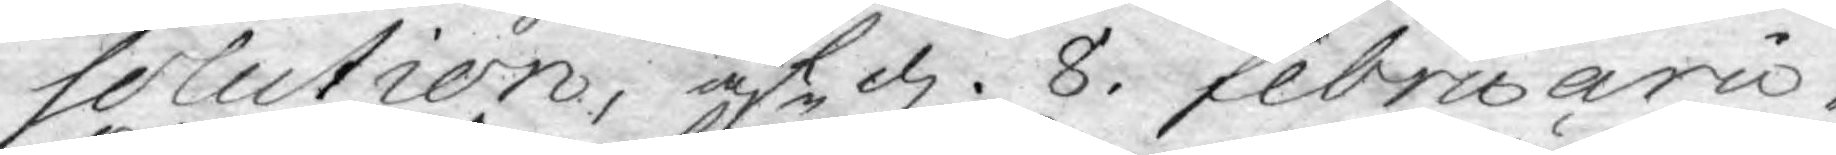solution, af d. 8. Februarii,
